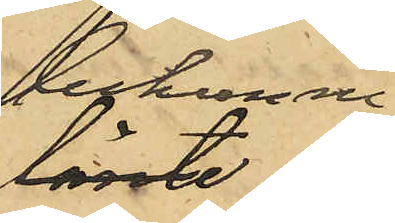bekomne
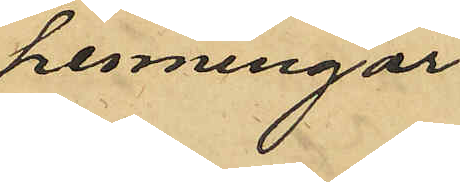penningar,
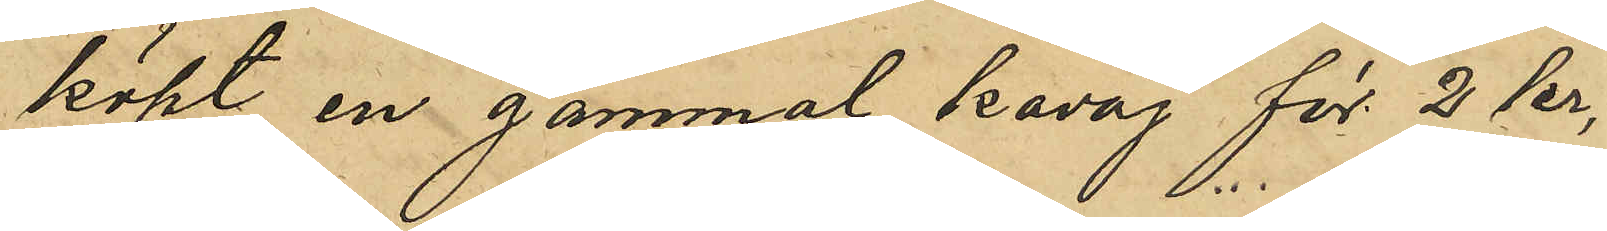köpt en gammal kavaj för 2 kr,
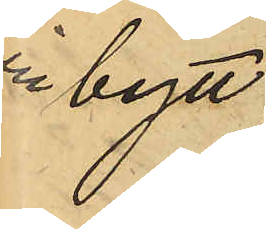tillbytt
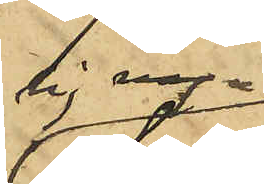sig nya
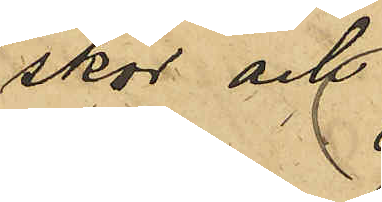skor och
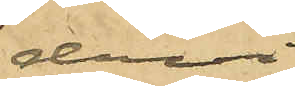dervid
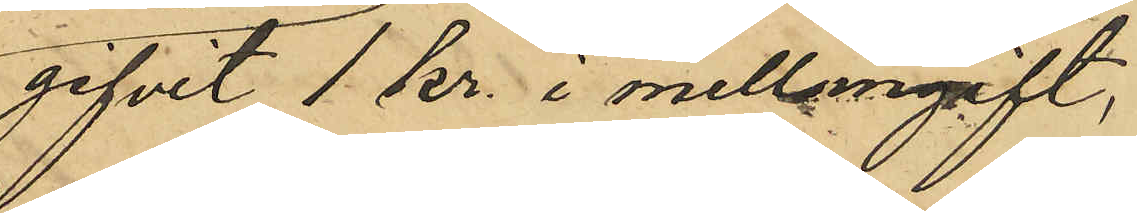gifvit 1 kr. i mellangift,
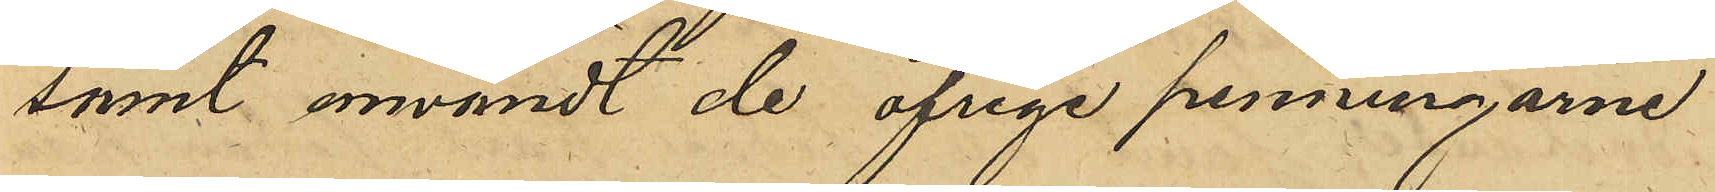samt användt de öfriga penningarne
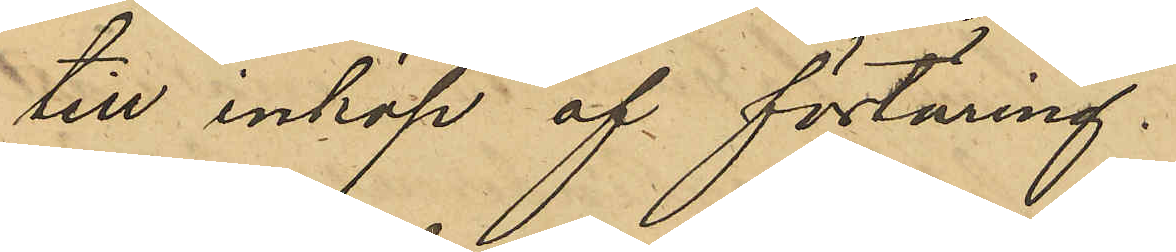till inköp af förtäring.
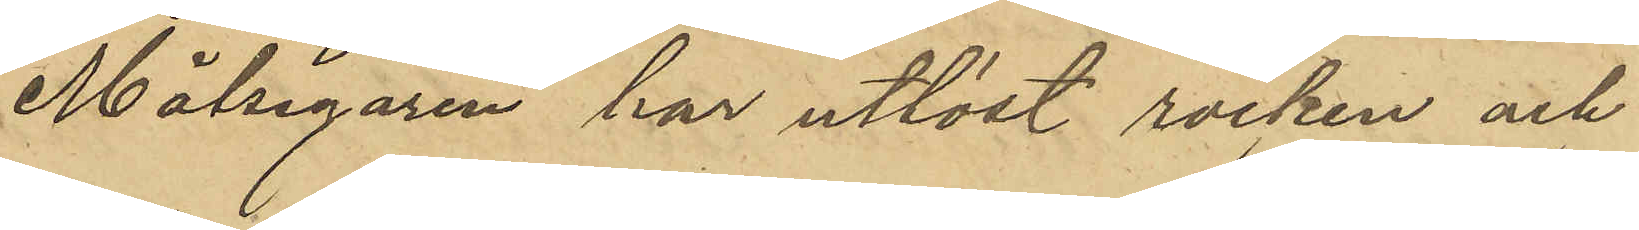Målsegaren har utlöst rocken och
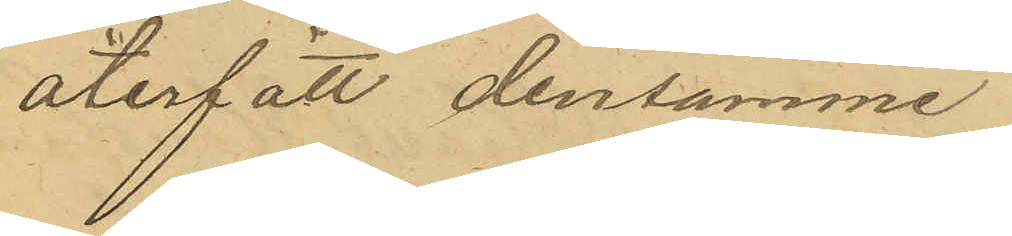återfått densamme.
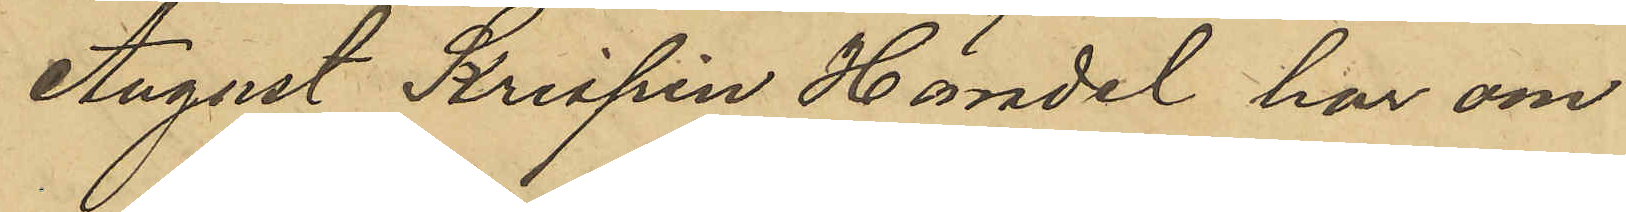August Krispin Händel har om
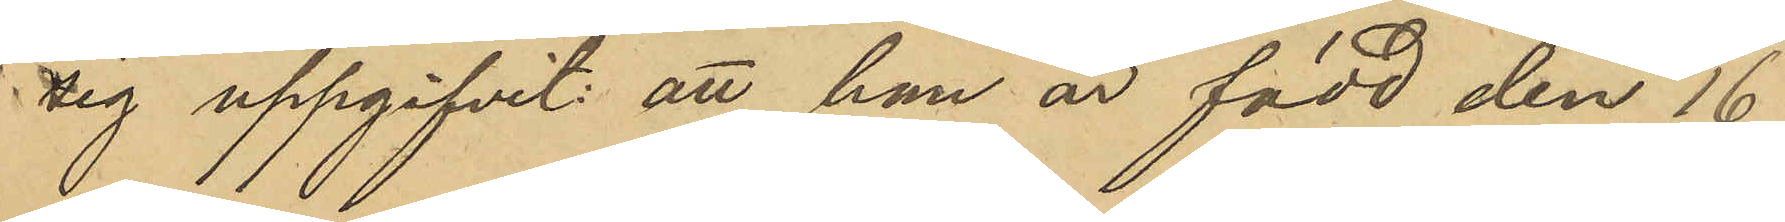sig uppgifvit att han är född den 16
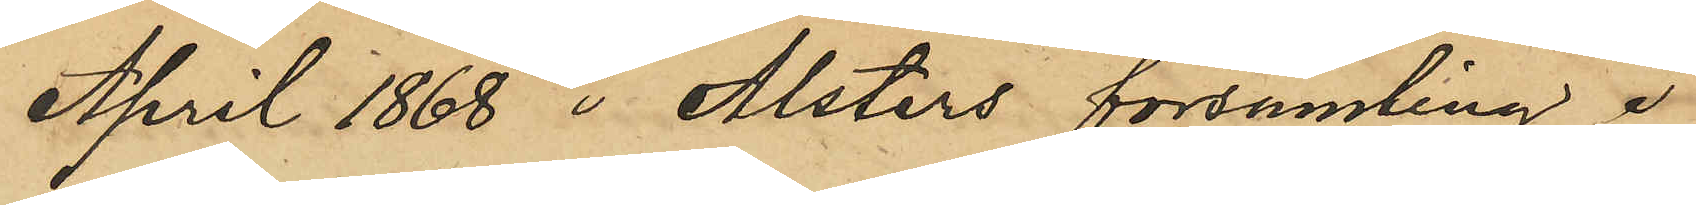April 1868 i Alsters församling i
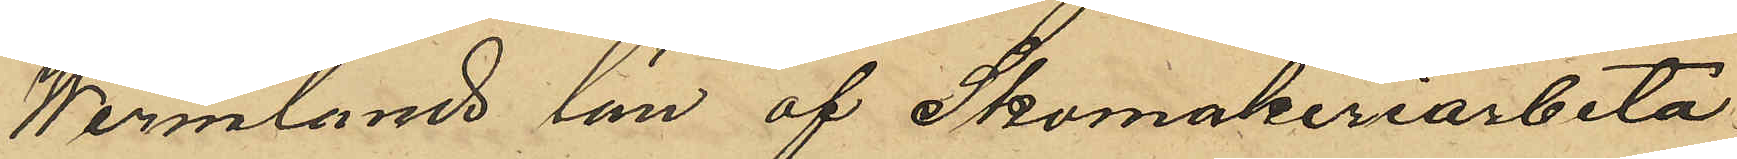Wermlands län af Skomakeriarbeta¬
